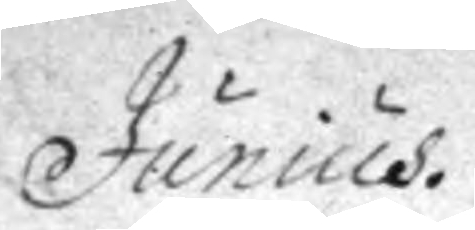Junius.
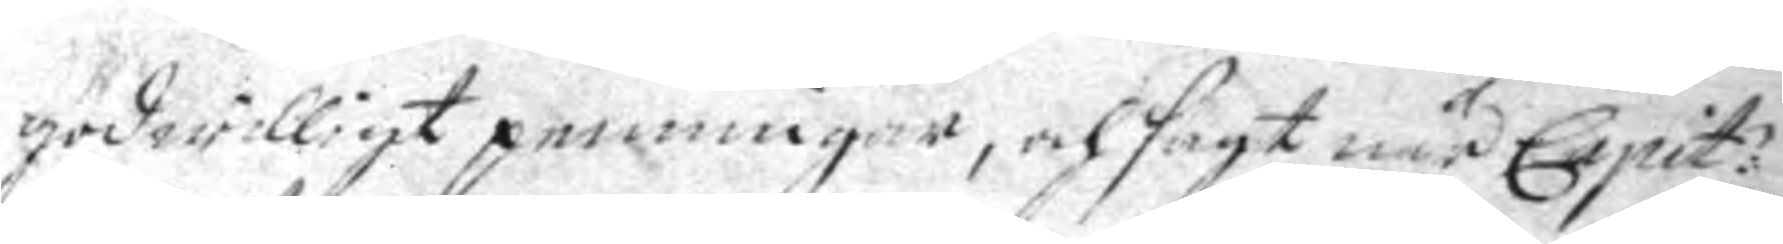godwilligt penningar, och sagt när Capit:
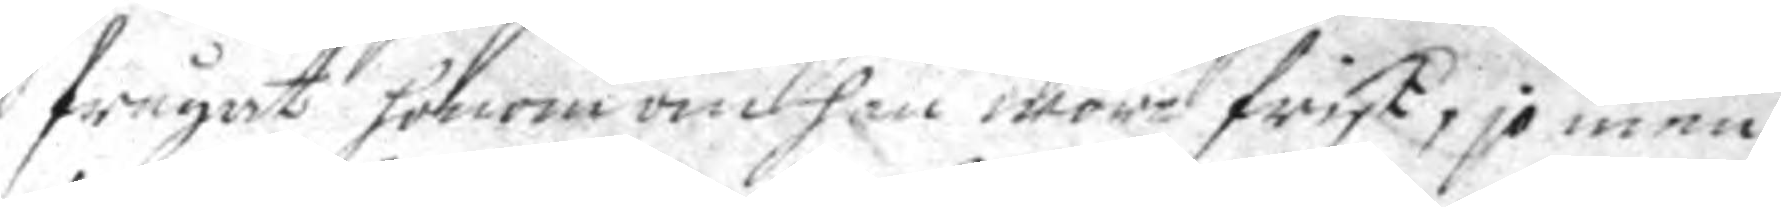frågat honom om han wore frisk, jo men
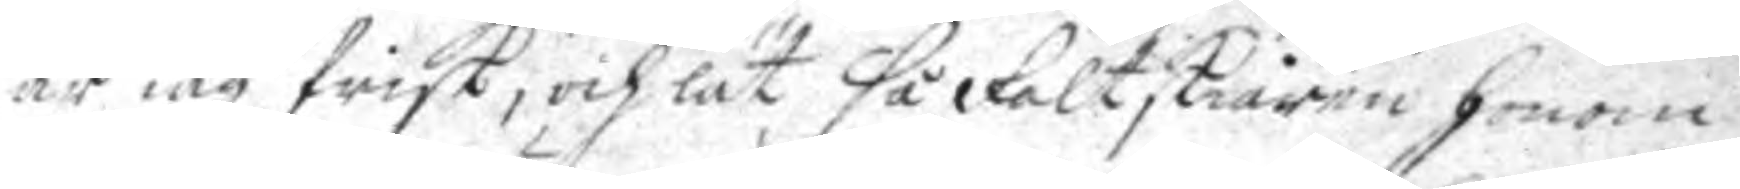är iag frisk, och lät så Fältskiären honom
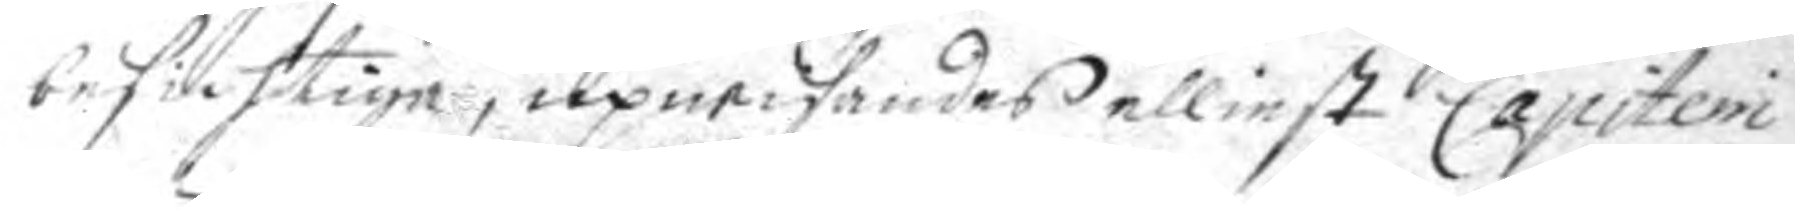besichtiga, upwisandes elliest Capitein
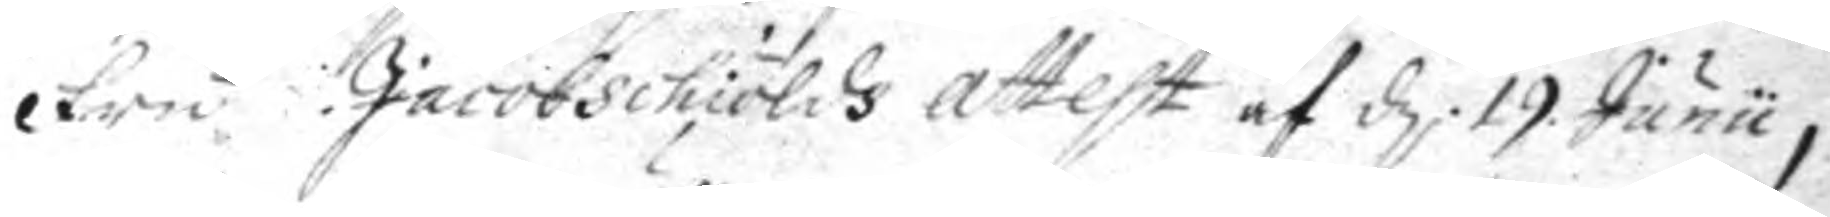fru Jacobschiölds attest af d. 19. Junii,
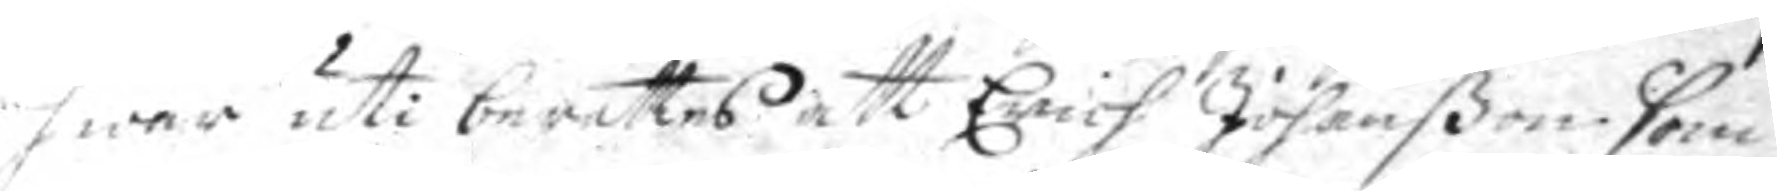hwar uti berättas attErich Johanon som
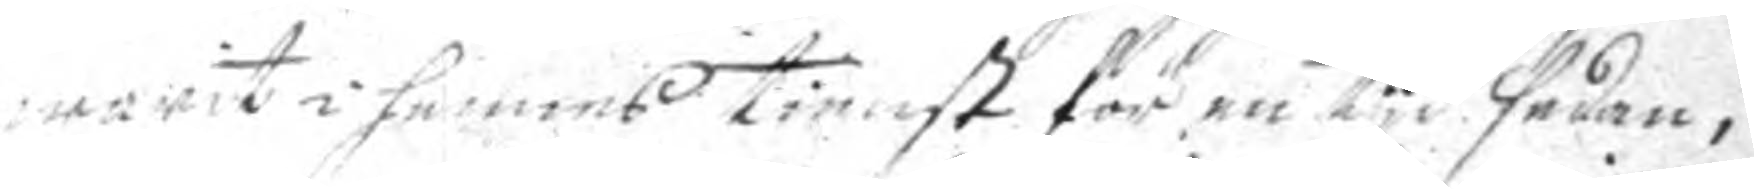warit i hennes tienst för en tyd sedan, 
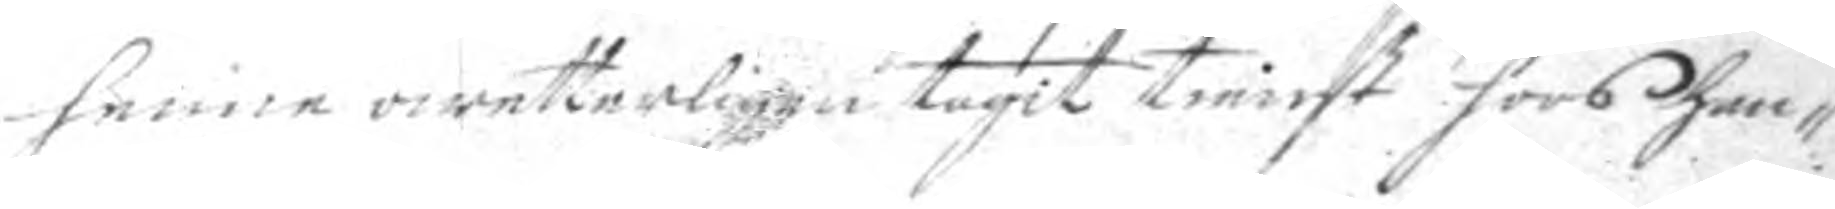henne owetterligen tagit tienst hoos han¬
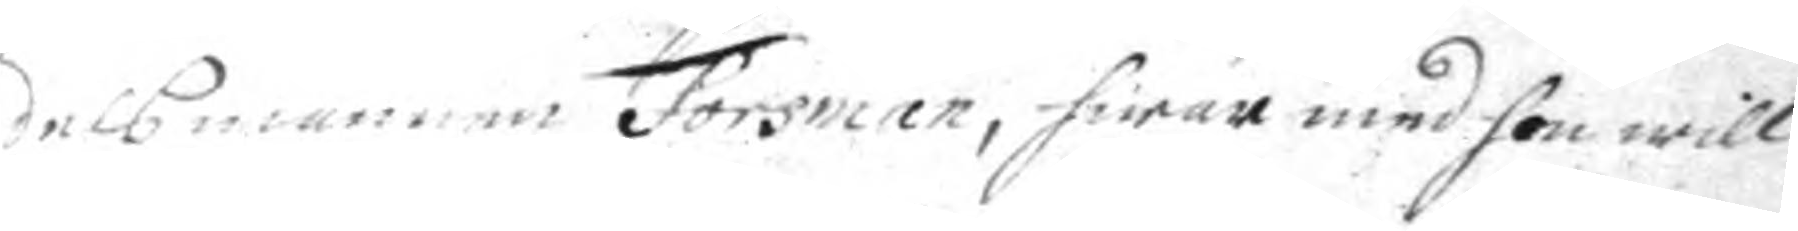delsmannen Forsman, hwar med hon will
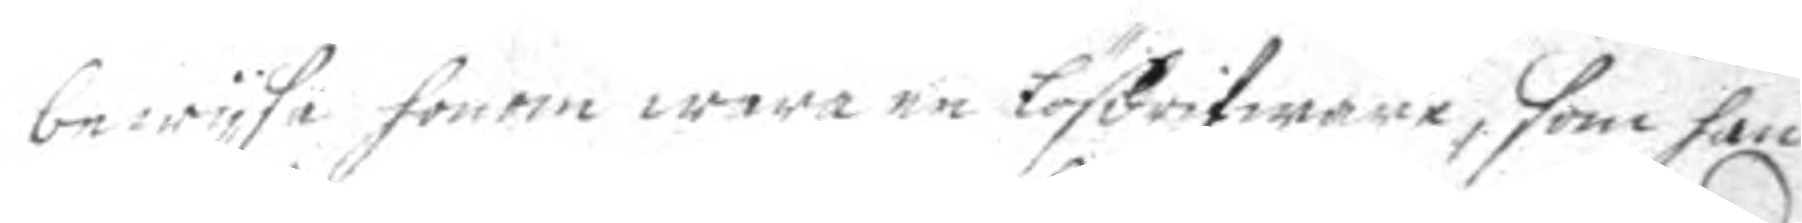bewysa honom wara en lösdrifware, som han
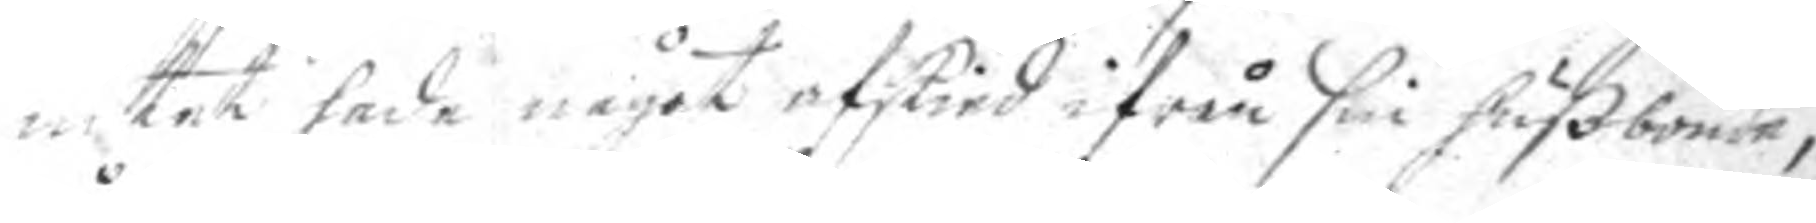intet hade något afskied ifrån sin hußbonde,
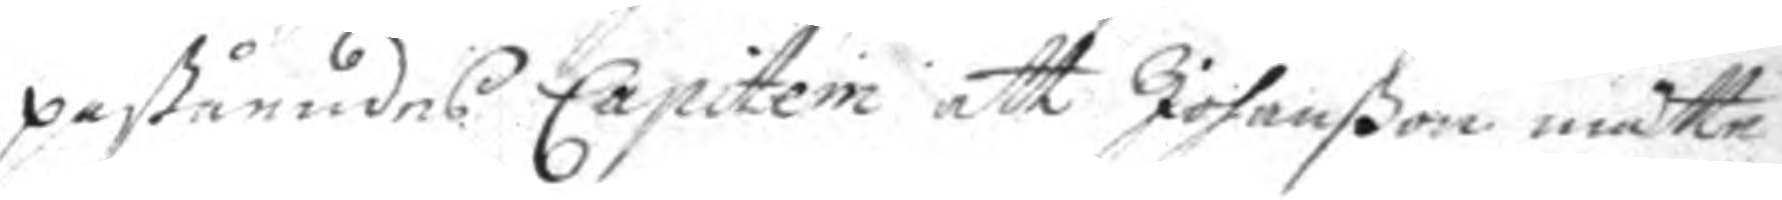påståendes Capiteni att Johanßon måtte
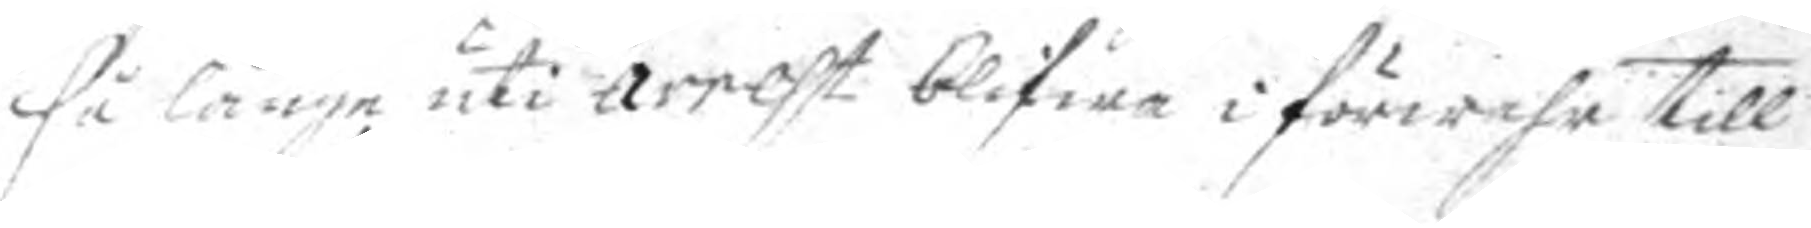få länge uti arrest blifwa i förwahr till
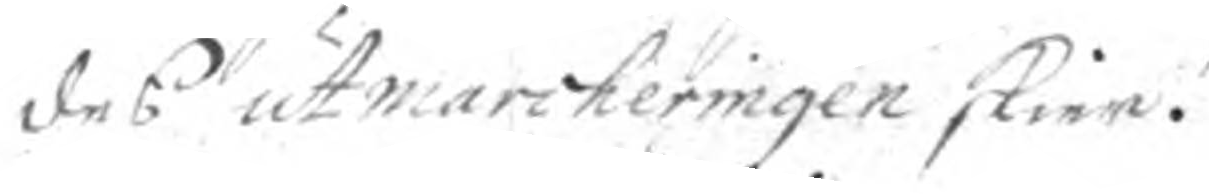des utmarcheringen skier.
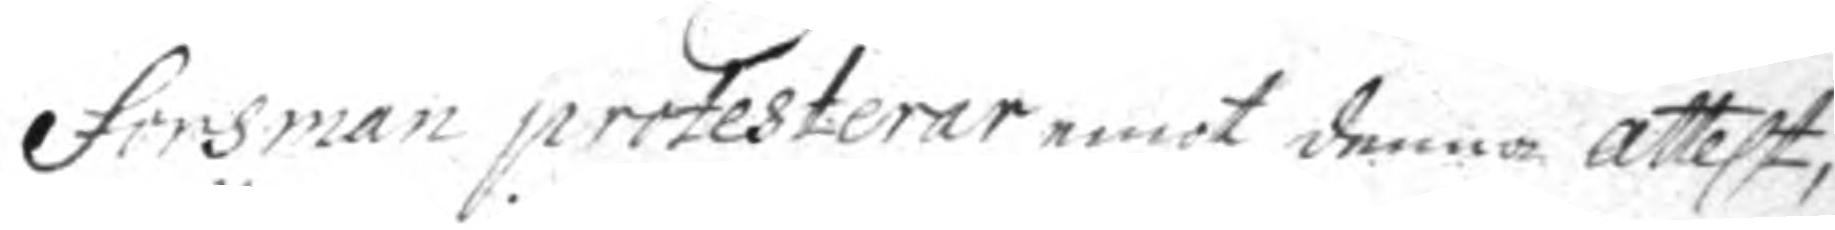Forsan protesterar emot denna attest
